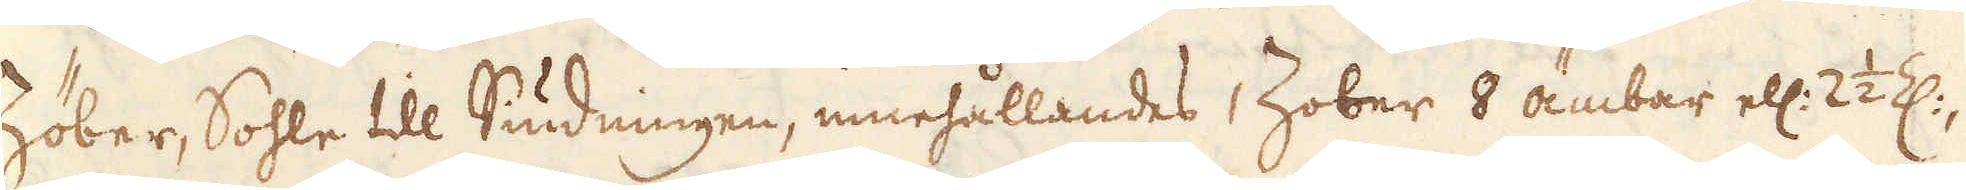Zöber, Sohle till Siudningen, innehållandes 1 Zober 8 ämbar ell: 2 1/2 Z:,
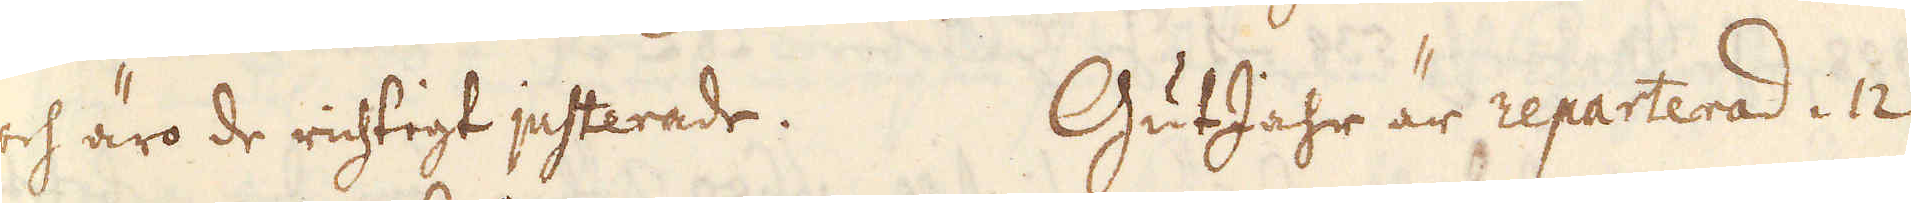och äro de richtigt justerade. GutJahr är reparterad i 12
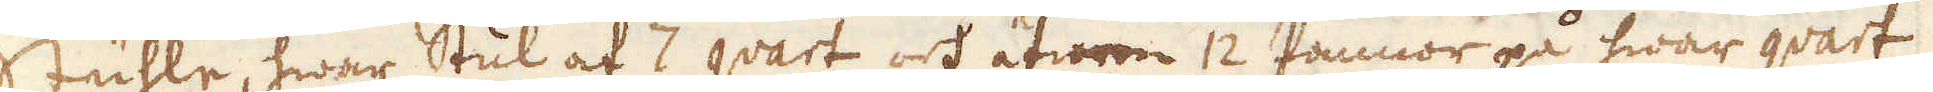Stuhle, hwar Stul af 7 qvart och äfwen 12 Pannor på hwar qvart
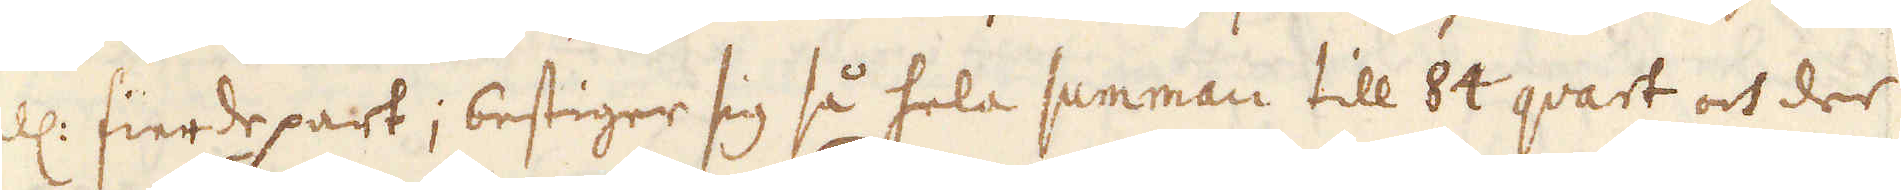ell: fierde part; bestiger sig så hela summan till 84 qvart och der
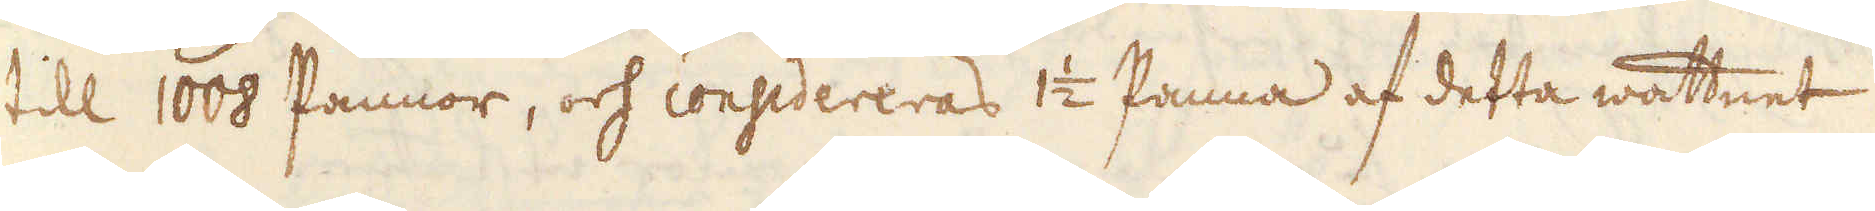till 1008 Pannor, och considereras 1 1/2 Panna af detta wattnet
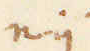eij
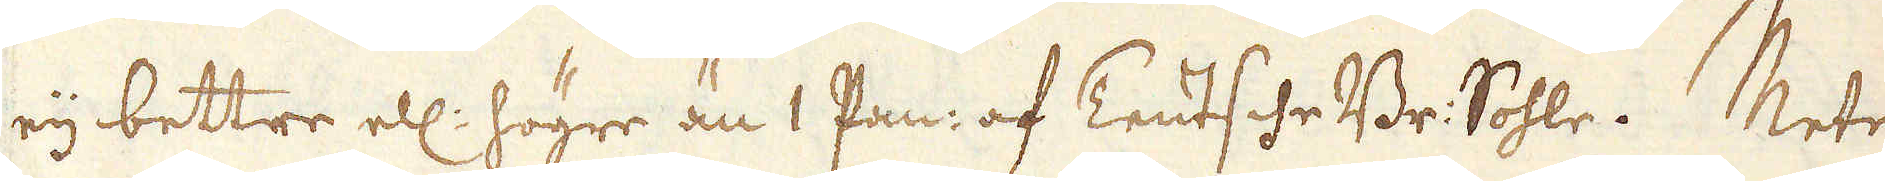eij bettre ell: högre än 1 Pan: af Teutsche Br: Sohle. Mete-
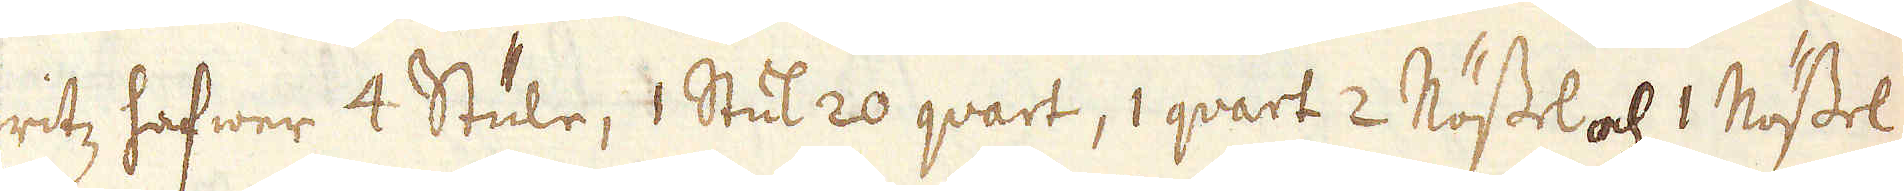ritz hafwer 4 Stule, 1 Stul 20 qvart, 1 qvart 2 Nössel och 1 Nössel
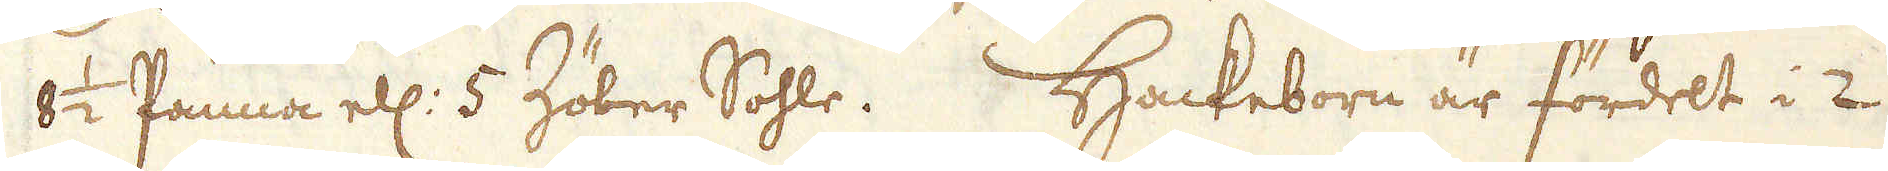8 1/2 Panna ell: 5 Zöber Sohle. Hackeborn är fördelt i 2
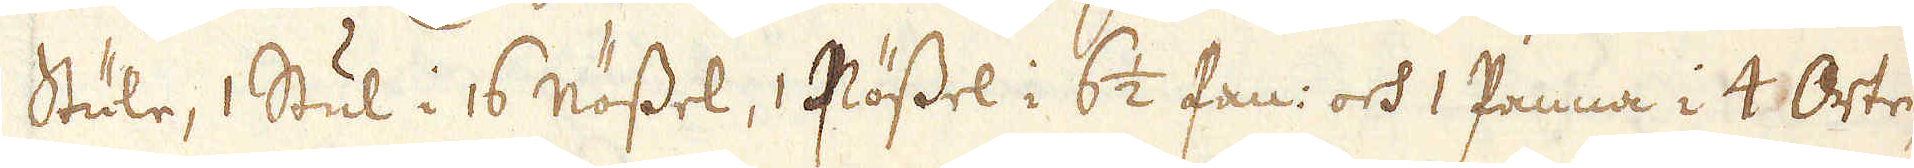Stule, 1 Stul i 16 nössel, 1 Nössel i 6 1/2 Pan: och 1 Panna i 4 Orte,
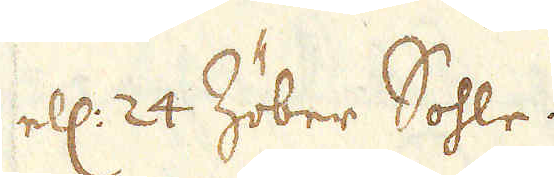ell: 24 Zöber Sohle.
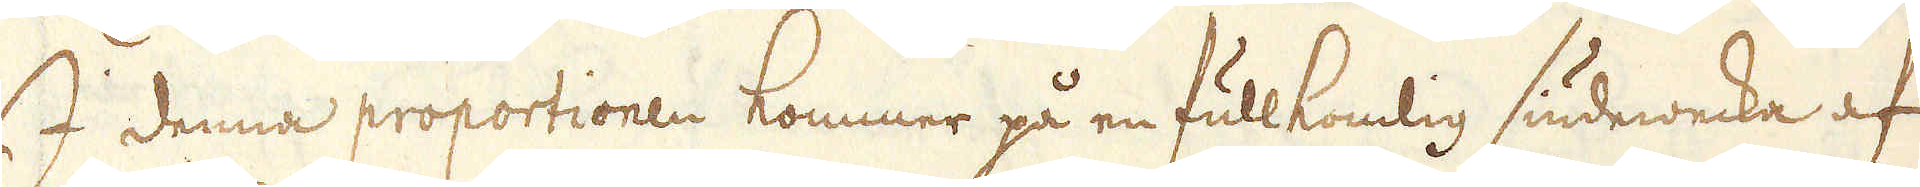I denna proportionen kommer på en fullkomlig Siudewecka af
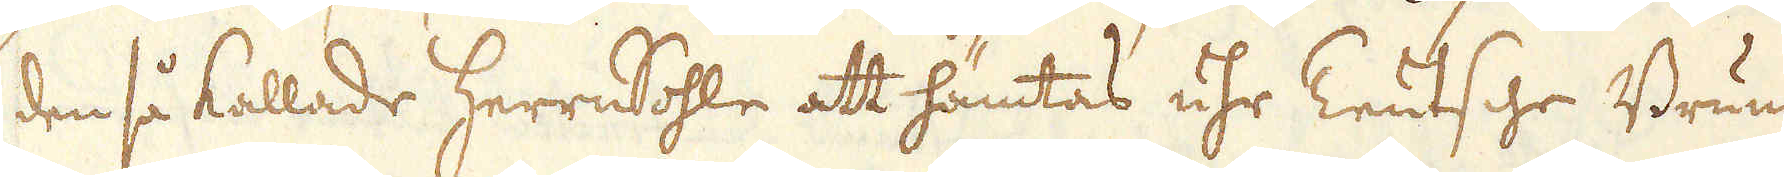den så kallade HerreSohle att hämtas uhr Teutsche Brunnen
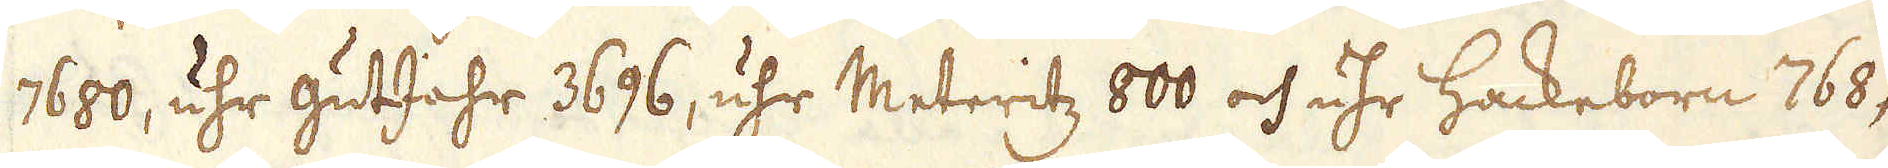7680, uhr gutJahr 3696, uhr Meteritz 800 och uhr Hackeborn 768,
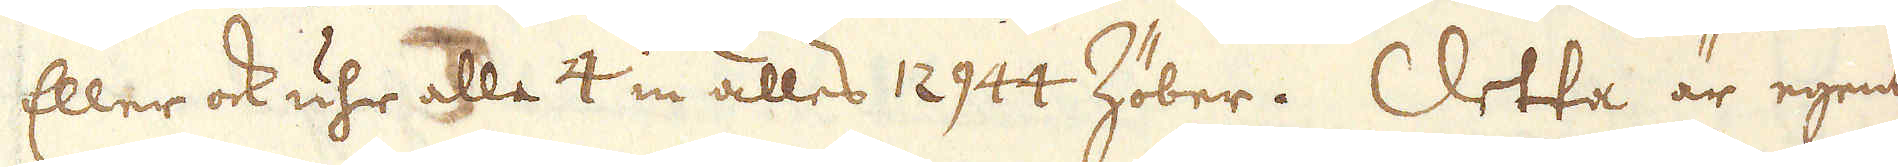Eller ock uhr alla 4 in alles 12944 Zöber. Detta är egentl:
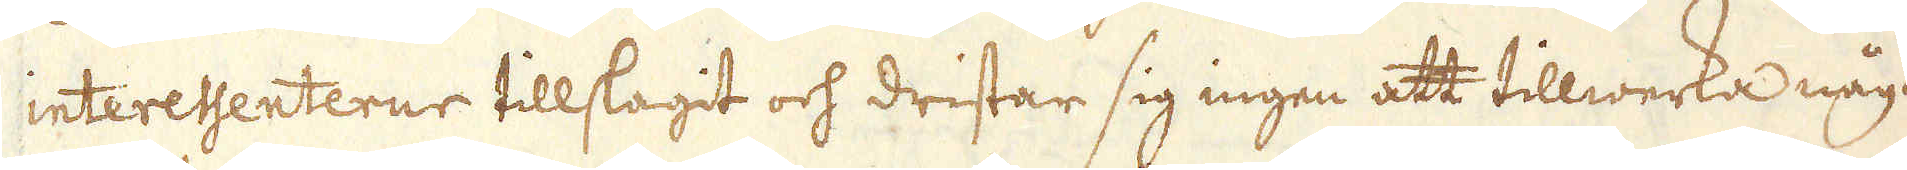interessenterne tillslagit och dristar sig ingen att tillwerka något
